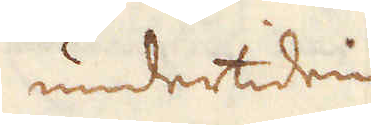undertiden
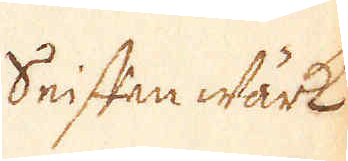Seiffen wärk
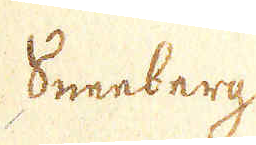Sneeberg
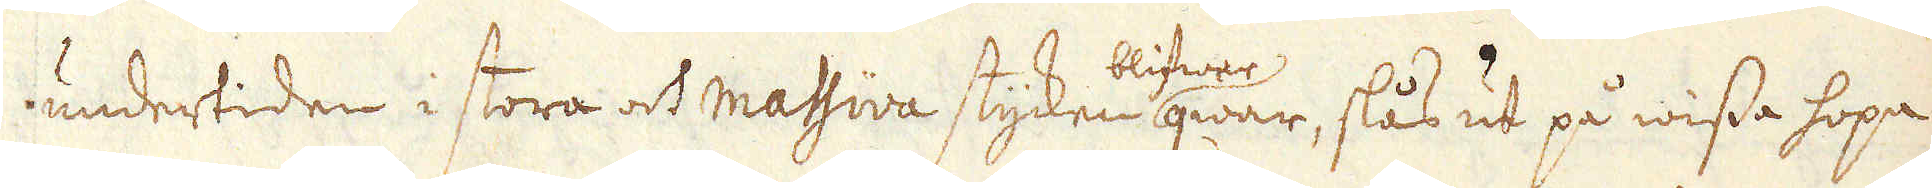undertiden i stora och massiva stycken blifwer qwar, slås ut på wissa hopar
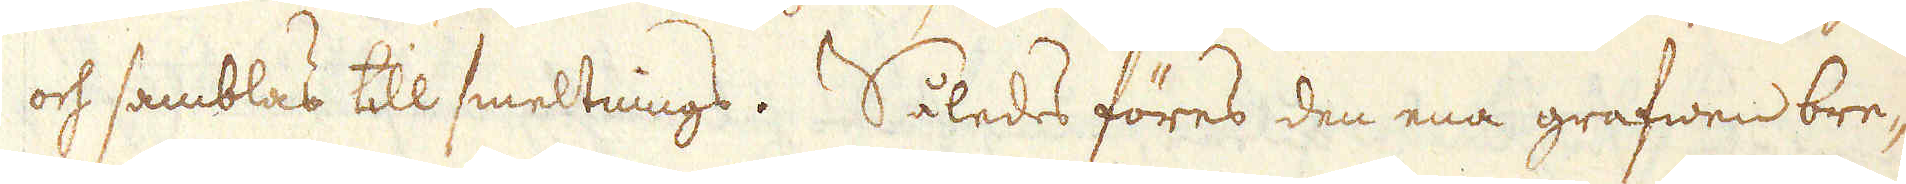och samblas till smeltnings. Således föres den ena grafwen bre-
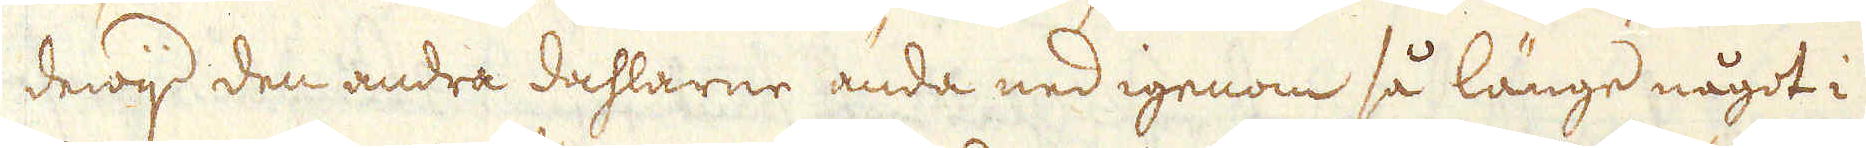dewijd den andra dahlarne ända ned igenom så länge något i
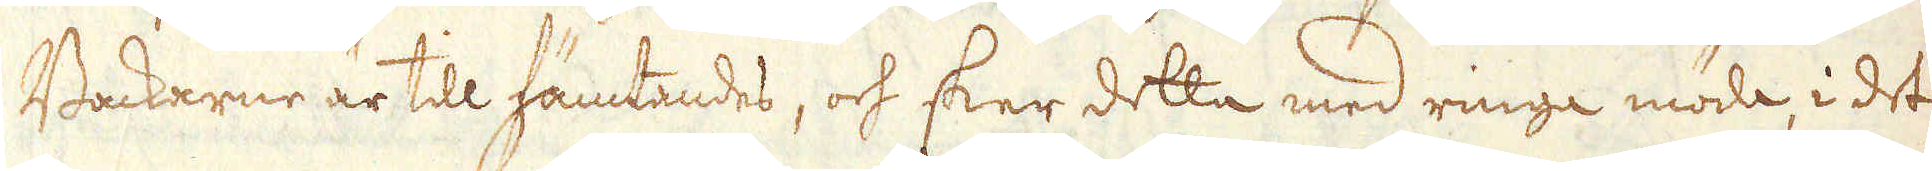Backarne är till hämtandes, och sker detta med ringa möda, i det
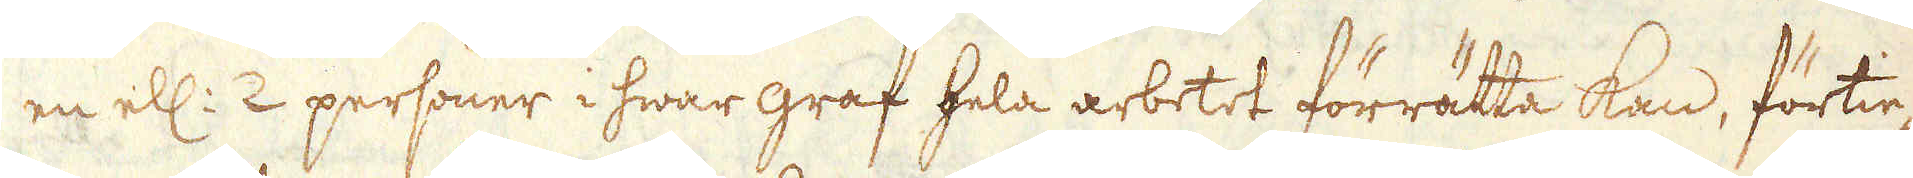en ell: 2 personer i hwar graf hela arbetet förrätta kan, förtie-
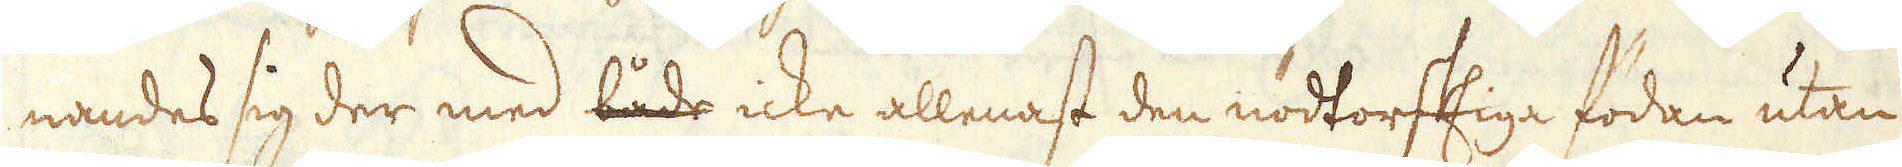nandes sig der med både icke allenast den nödtorftiga födan utan
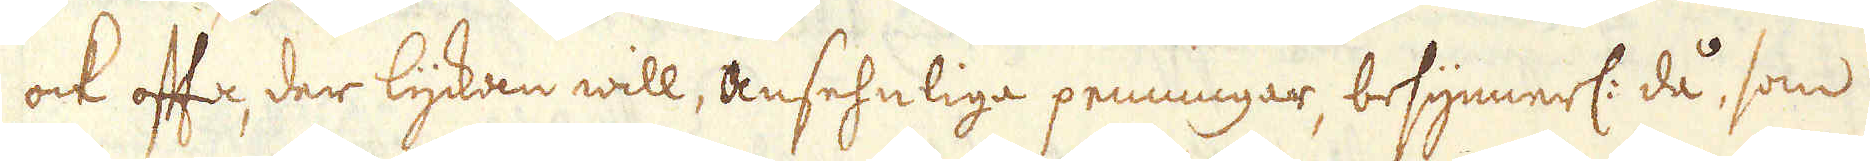ock ofta, der lyckan will, ansehnliga penningar, besynnerl: då, som
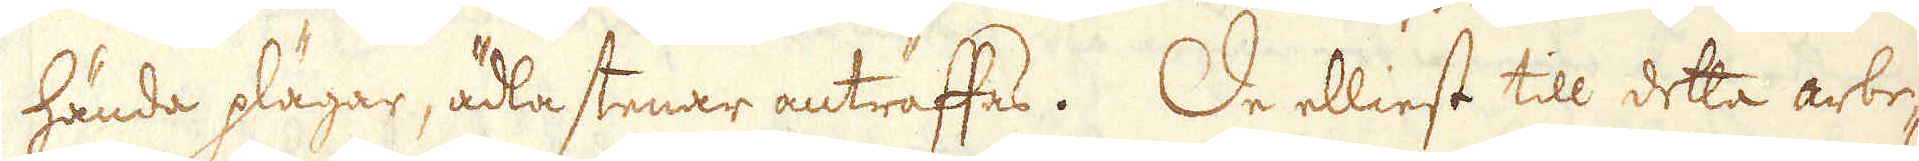hända plägar, ädla stenar anträffas. De elliest till detta arbe-
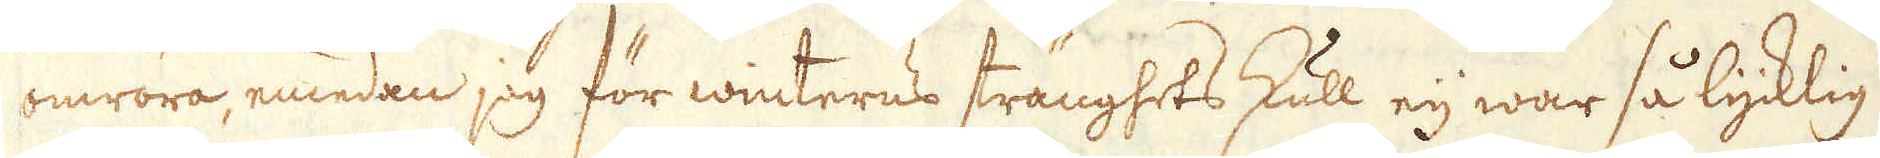omröra, emedan jag för winterns stränghets skull eij war så lycklig
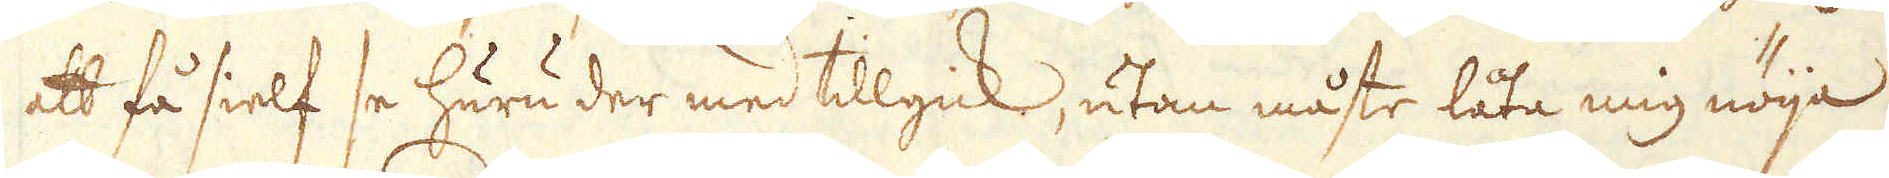att få sielf se huru der med tillgick, utan måste låta mig nöija
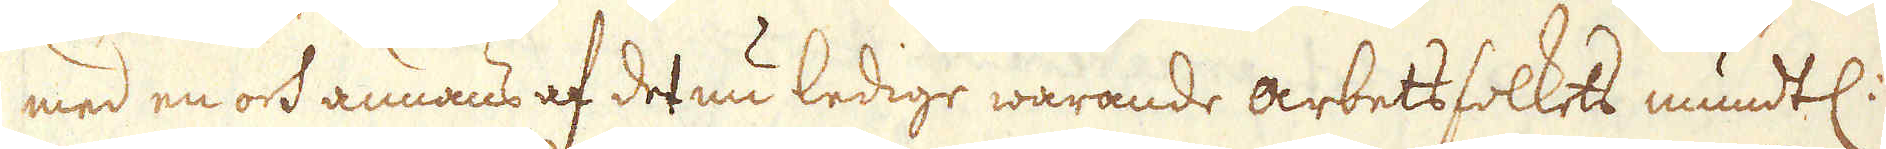med en och annans af det nu ledige warande arbetsfolkets mundtl:
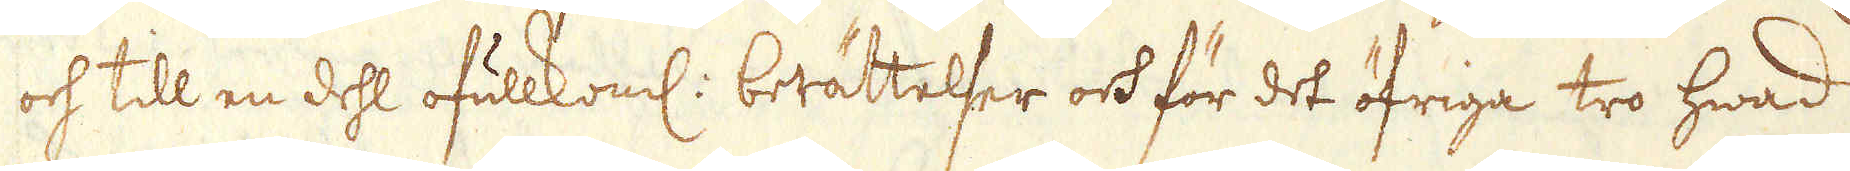och till en dehl ofullkoml: berättelser och för det öfriga tro hwad
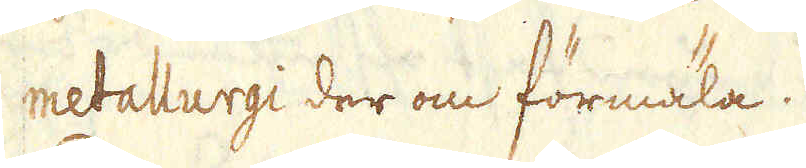metallurgi der om förmäla.
